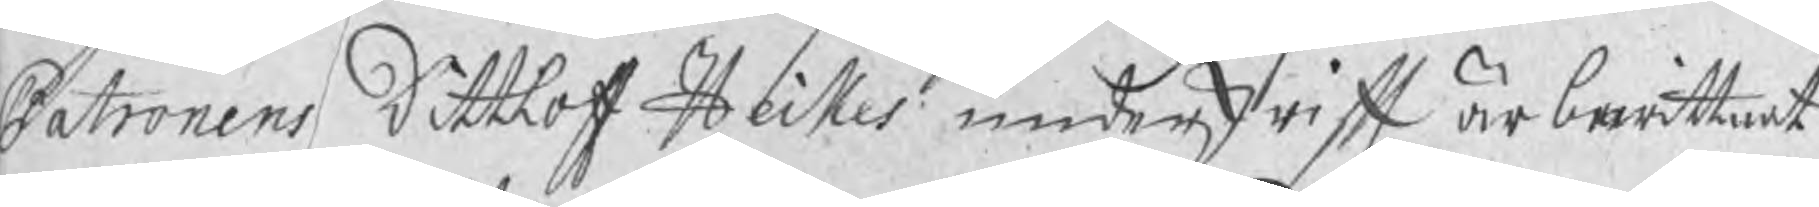Patronens Dittlof Heikes underskrift är bewittnat
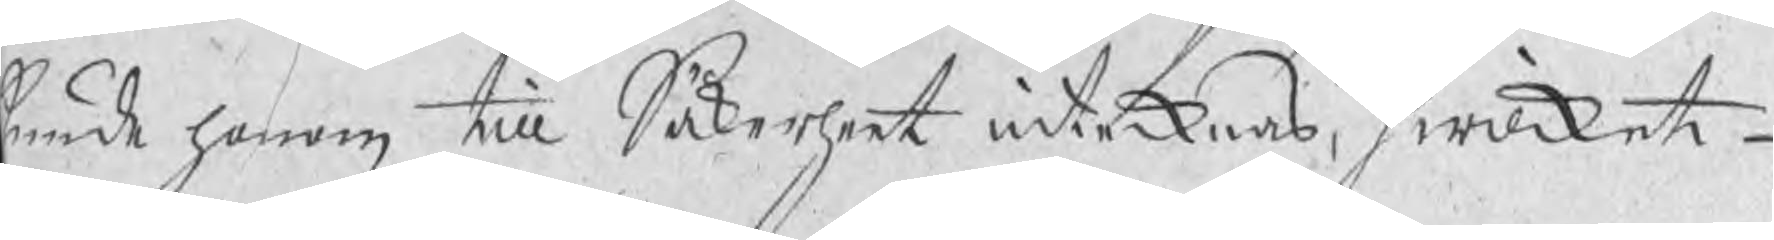kunde honom till Säkerheet intecknas, hwilket
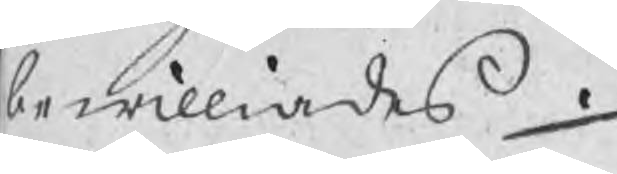bewilliades.
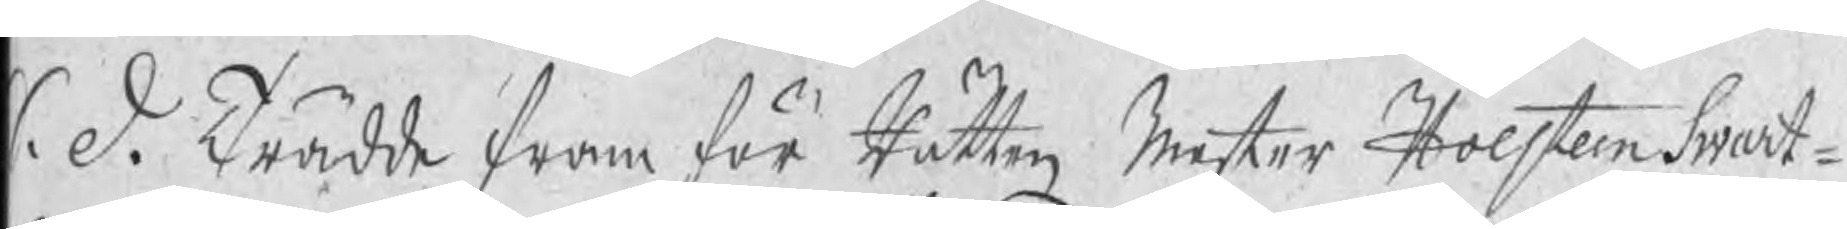S. d. Trädde fram för Rätten Mester Holsteen Swart¬
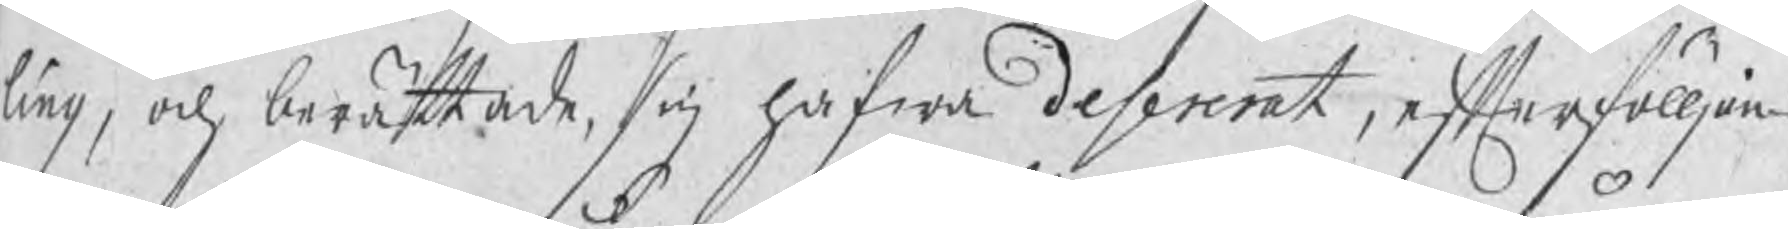ling, och berättade, sig hafwa desererat, efterfölljan¬
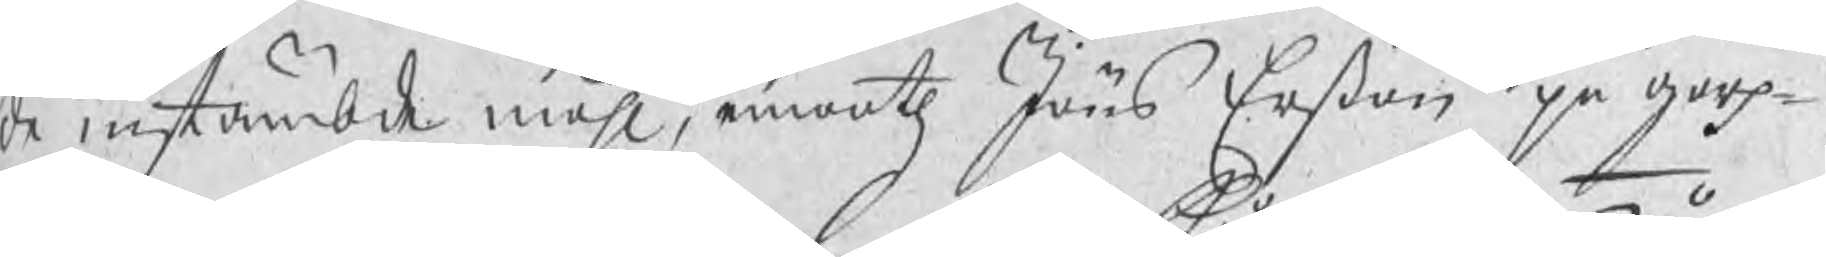de instämbde måhl, emooth Jöns Erßon på garp¬
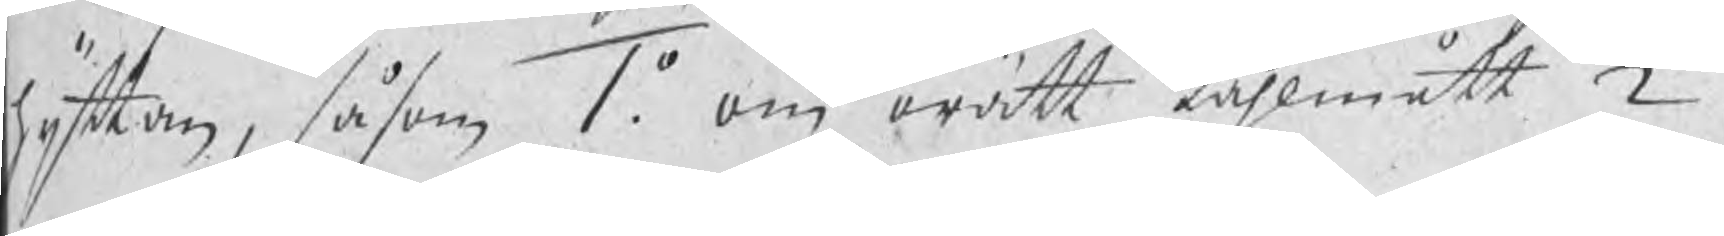hyttan, såsom 1o. om orätt kåhlmått 2o.
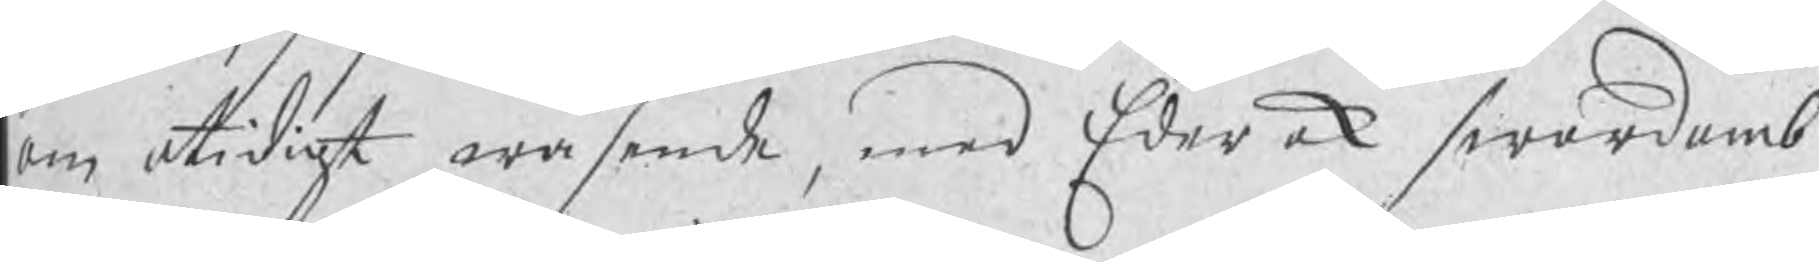om otidigt wäsende, med Eder ock swordomb
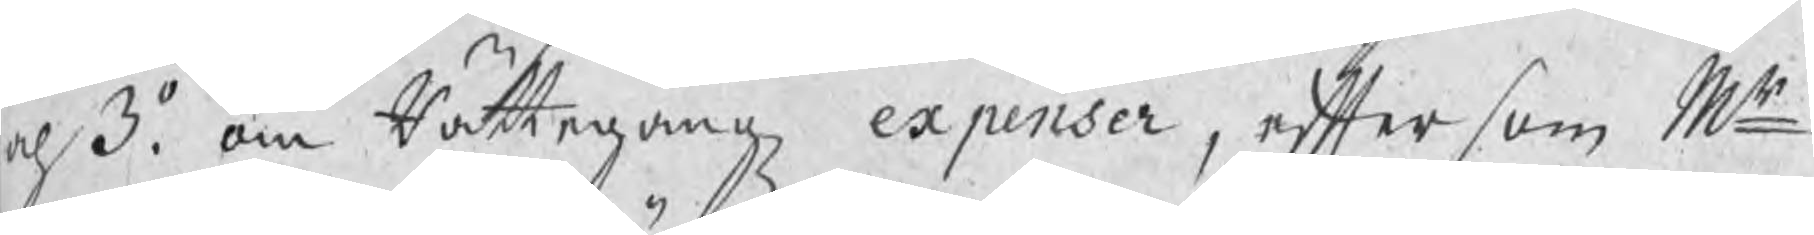och 3o. om Rättegångz expenser, eftersom Mr
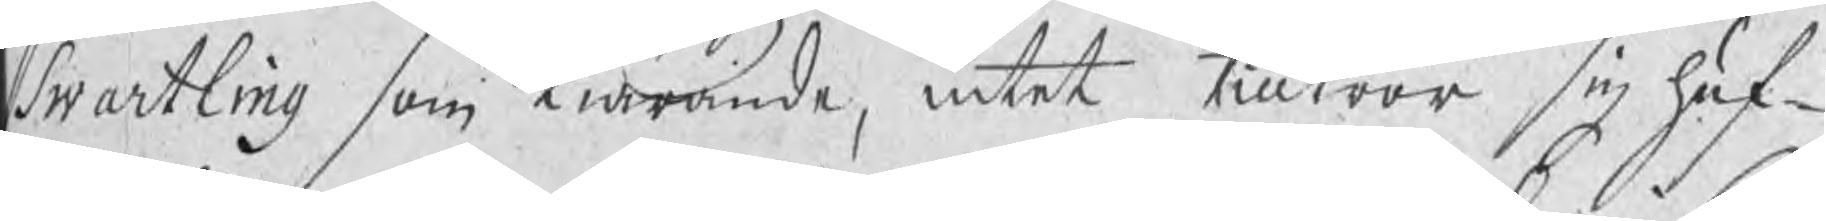Swartling som Kiärande, intet tilltror sig huf¬
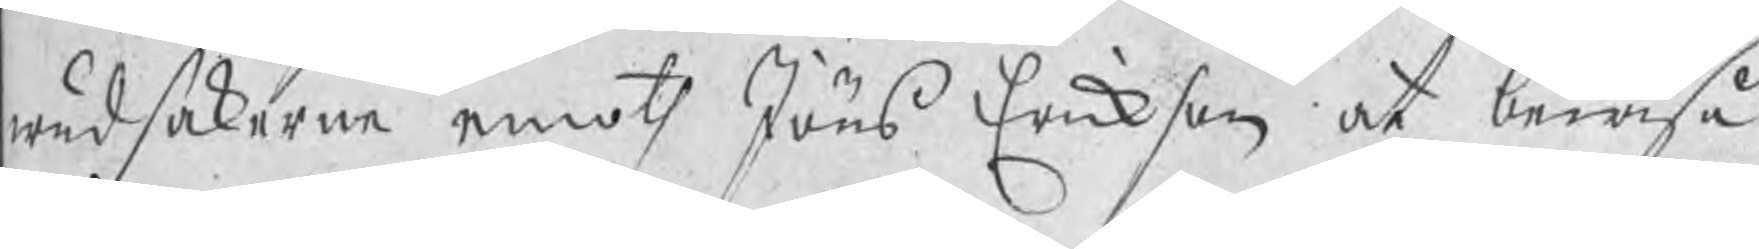wudsakerne emoth Jöns Erickson at bewisa
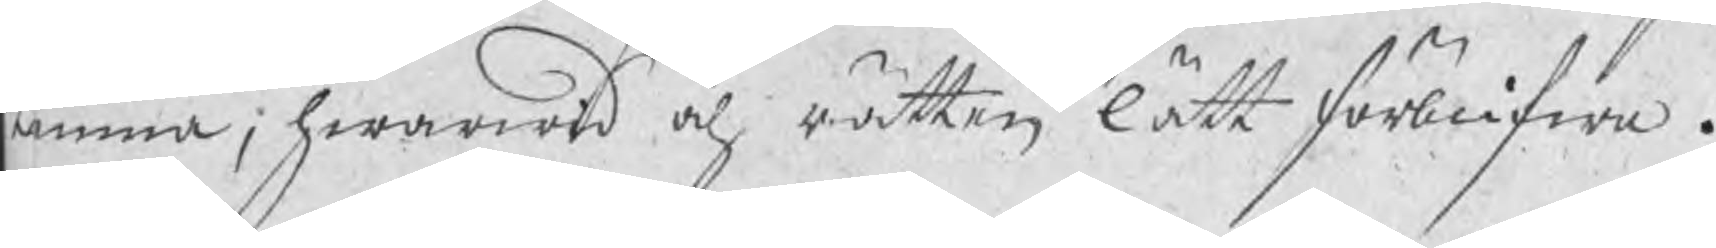kunna; hwarwid och rätten lätt förblifwa.
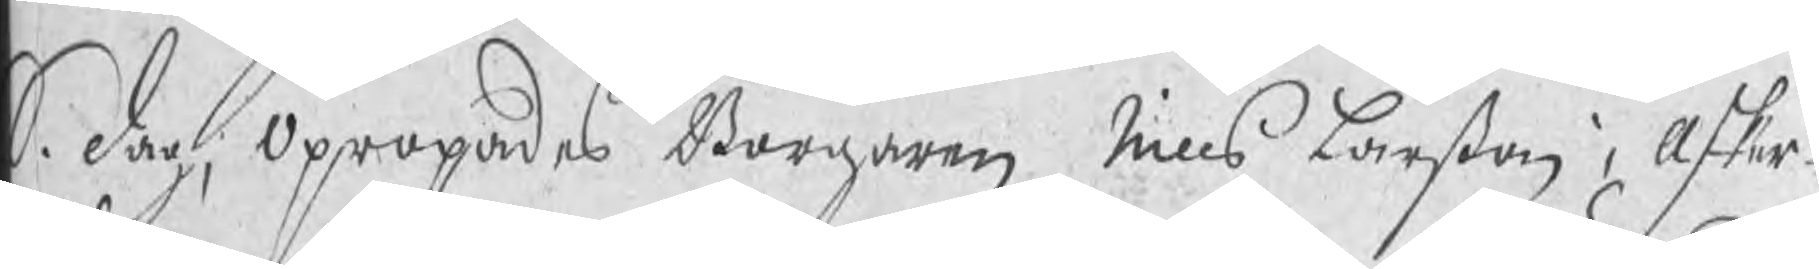S. dag, Opropades Borgaren Nills Larßon i Asker¬
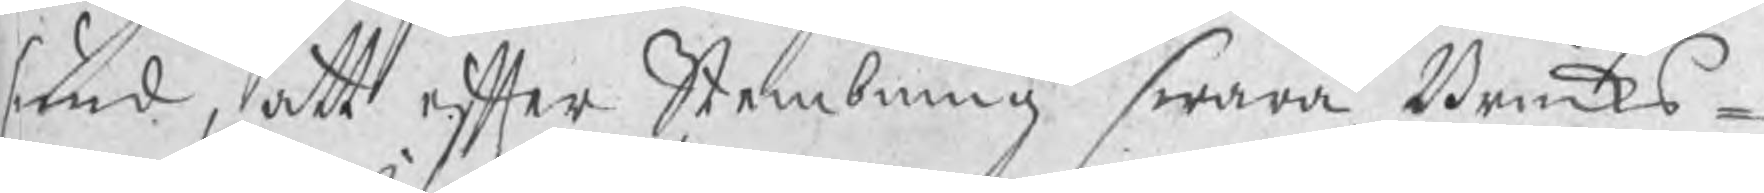sund, att efter Stembning swara Bruks¬
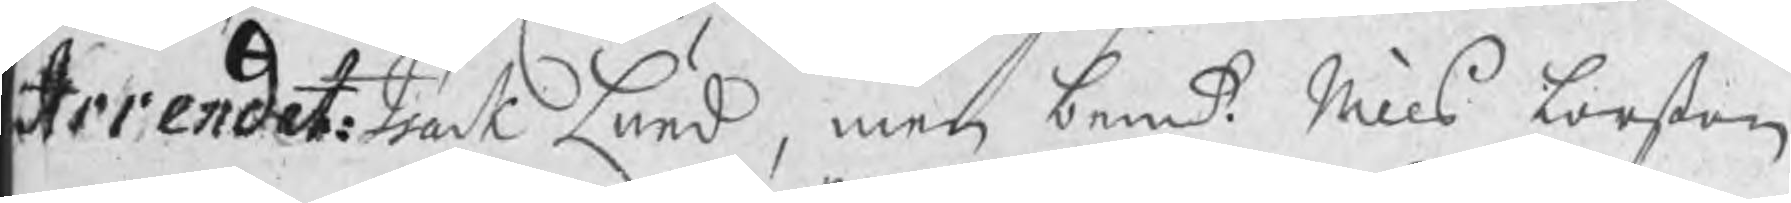Arrendat: Isack Lund, men bemt: Nills Larßon
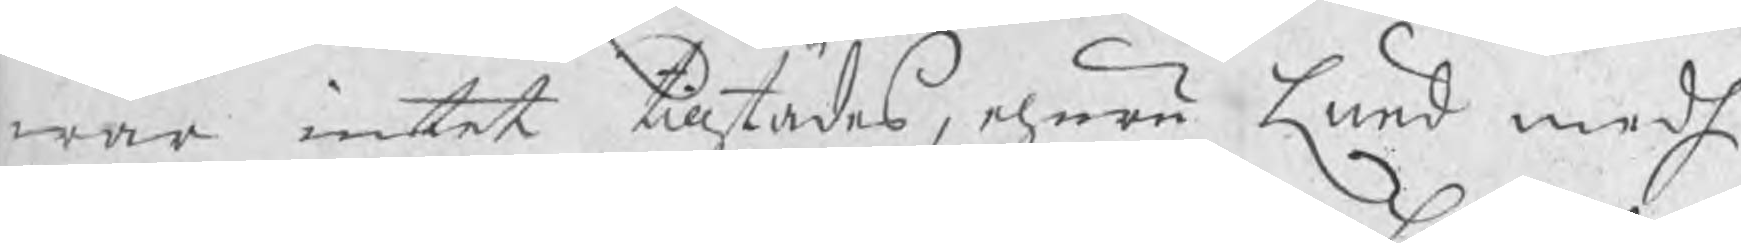war intet tillstädes, ehuru Lund medh
